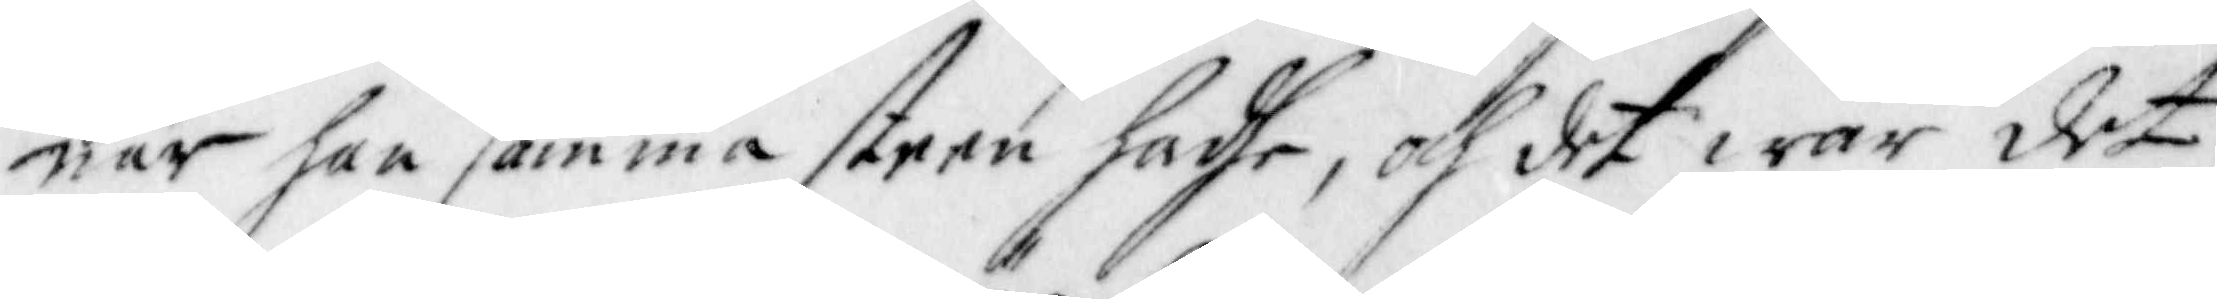när han samma steen hadhe, och det war det
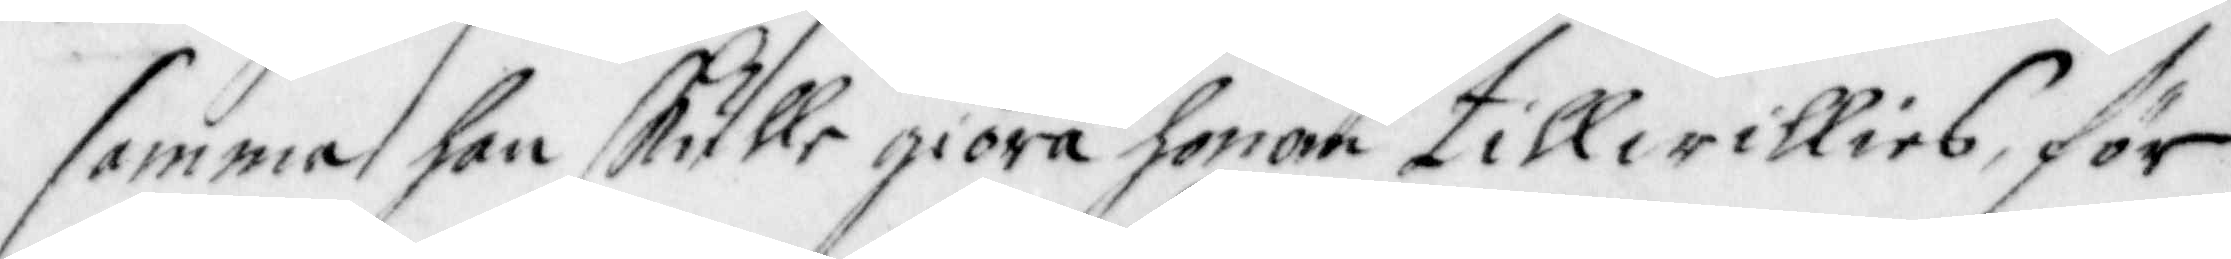samma han skulle giöra honom till willies; för
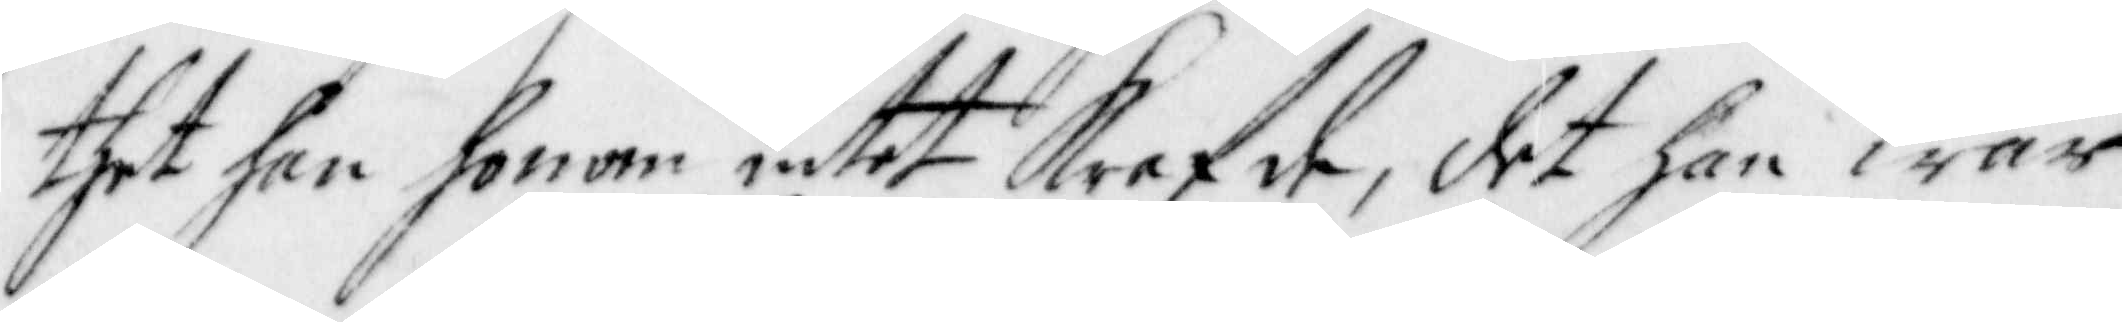thet han honom intet Krefde, det han war
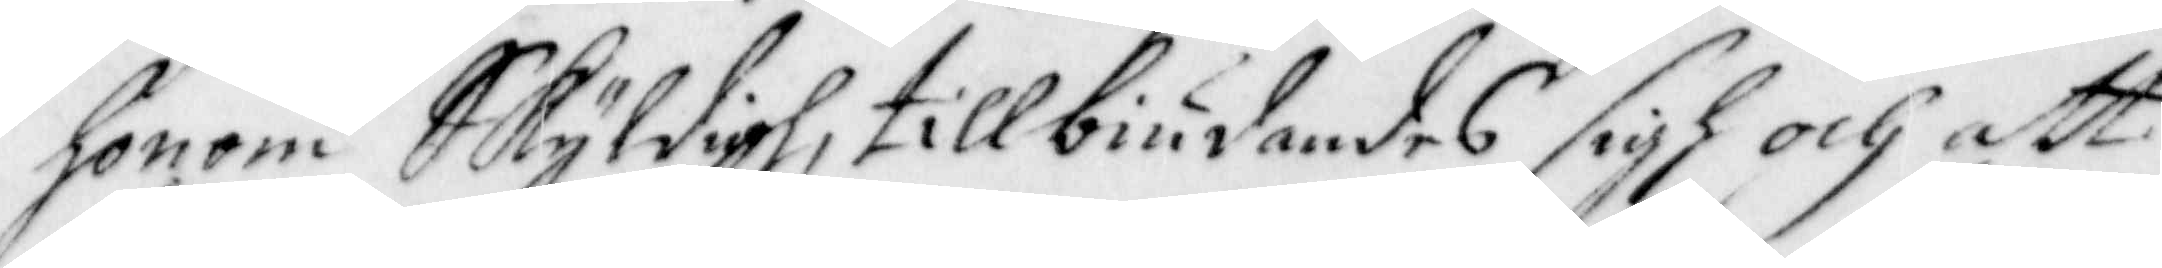honom Skyldigh, tillbiudandes sigh och att
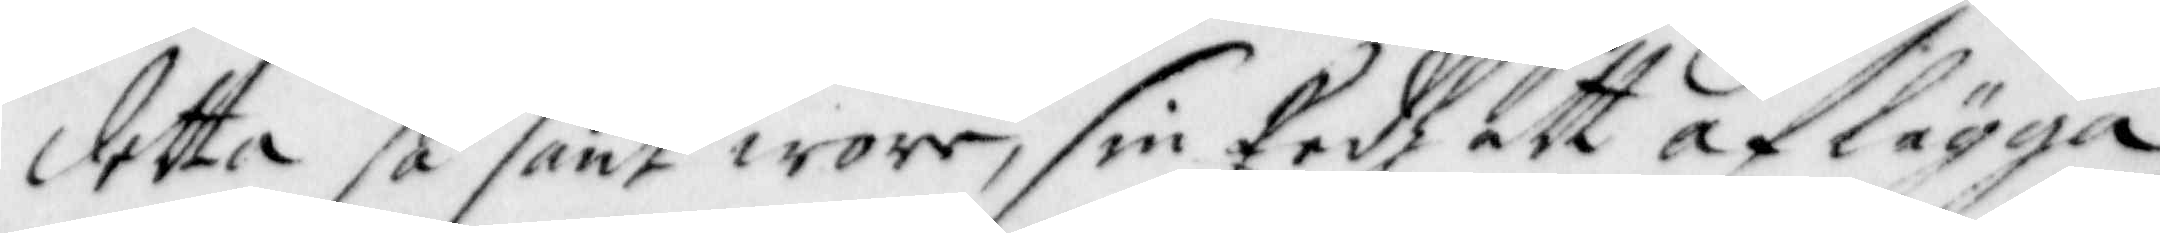detta så sant wore, sin Eedh att aflägga,
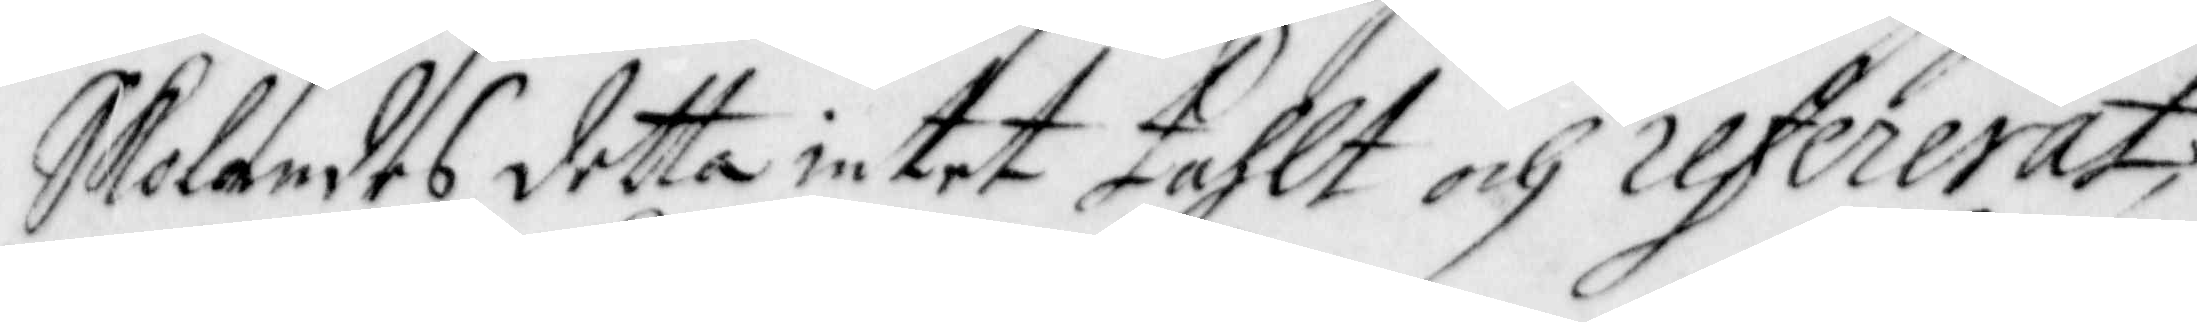Skolandes detta intet tahlt och refererat;
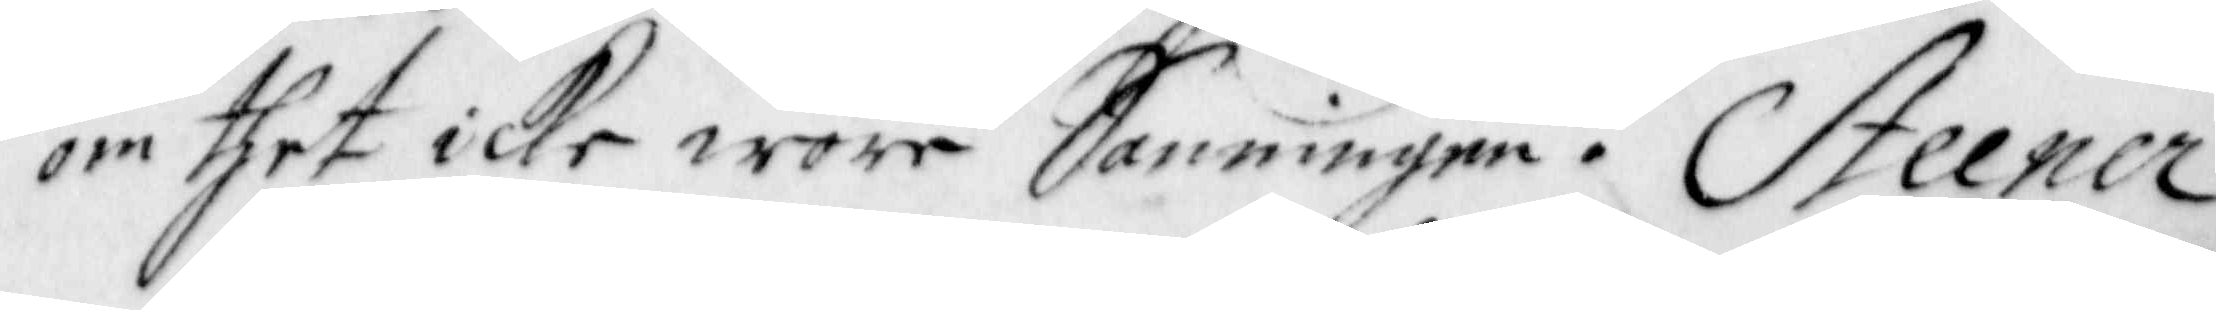om thet icke wore Sanningen. Steener
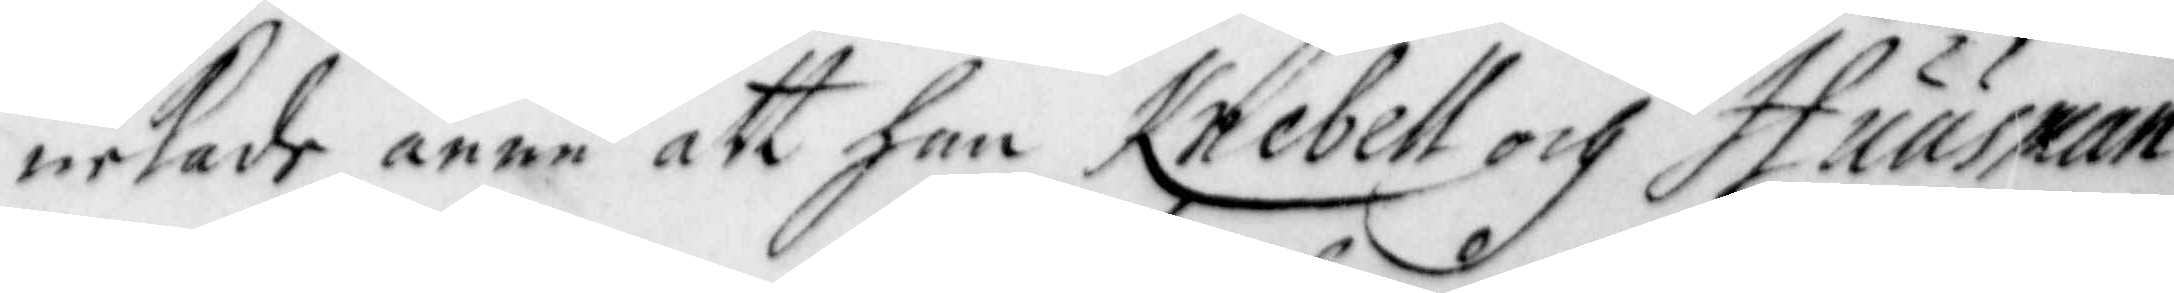nekade ännu att han Knebell och Huusman
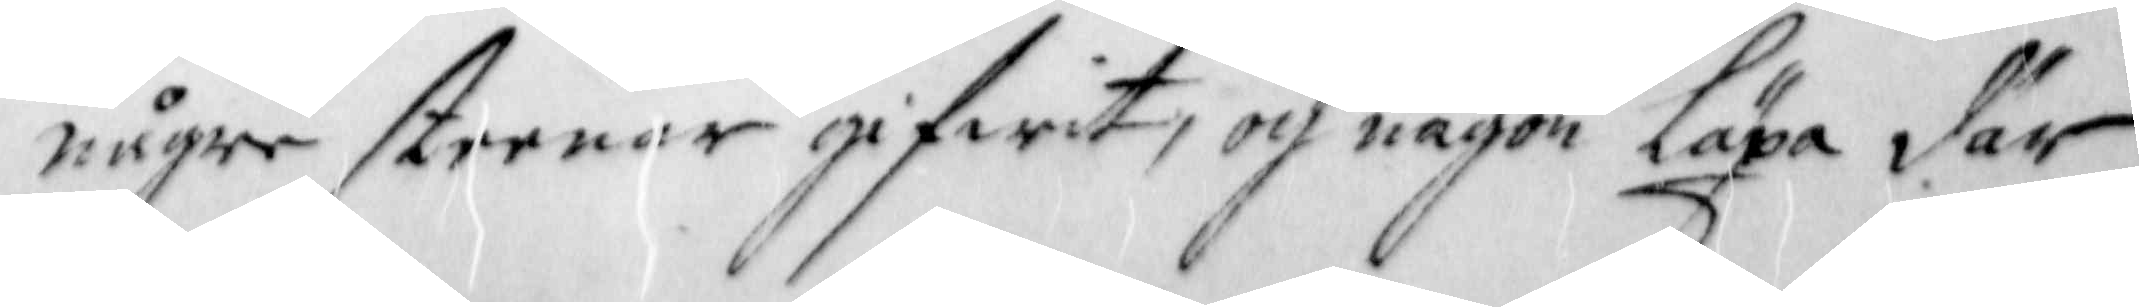någre steenar gifwit, och någon läxa där
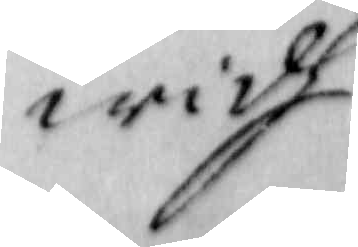widh
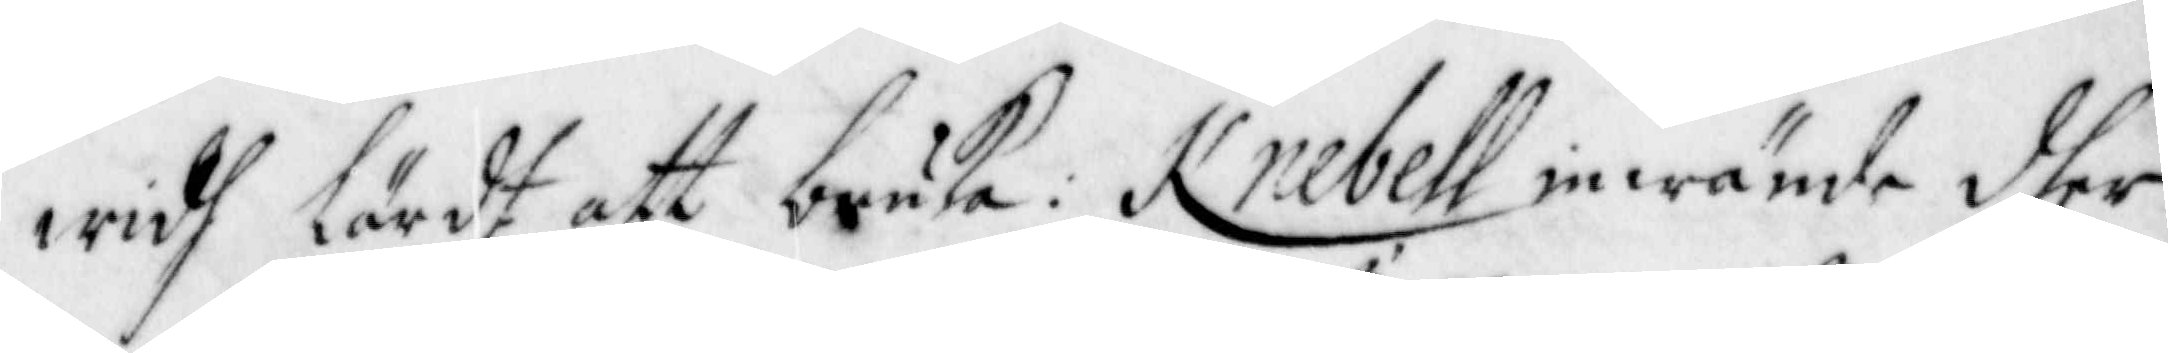widh lärdt att bruka: Knebell inwände dher
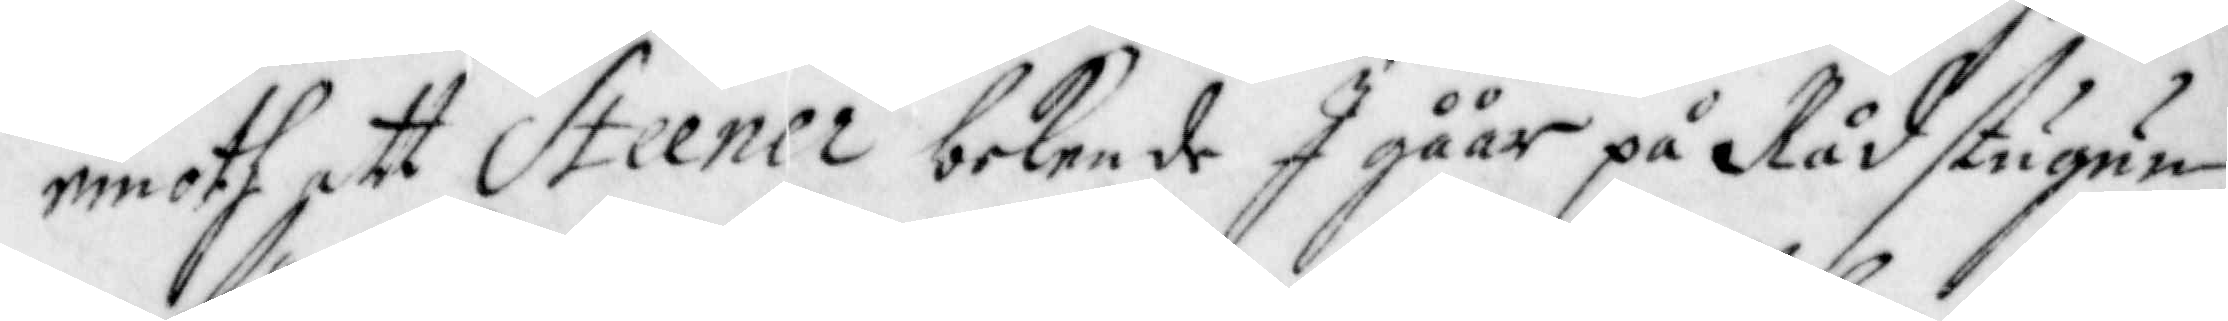emoth att Steener bekende I gåår på Rådstugun
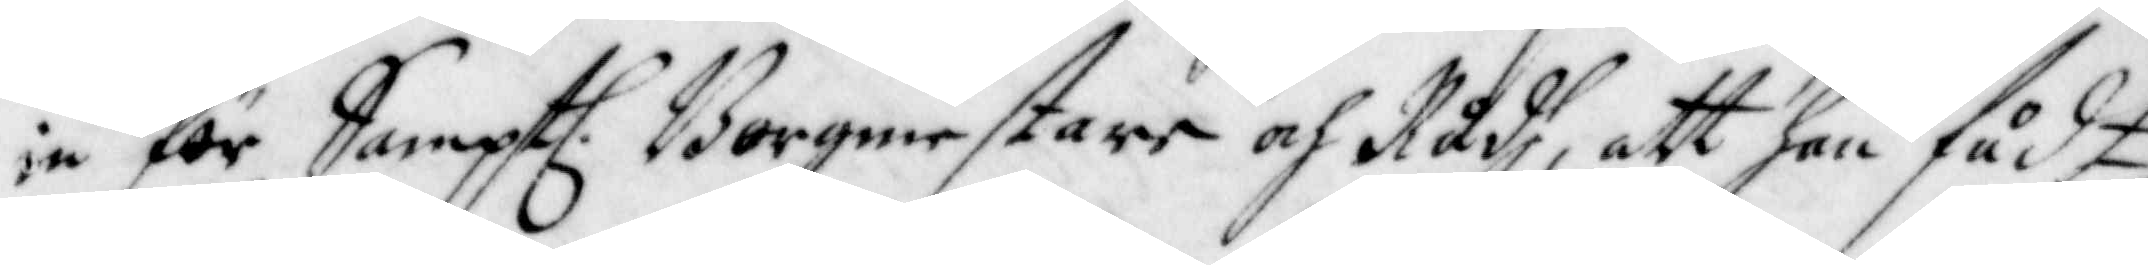in för Sampt. Borgmestare och Rådh, att han fådt
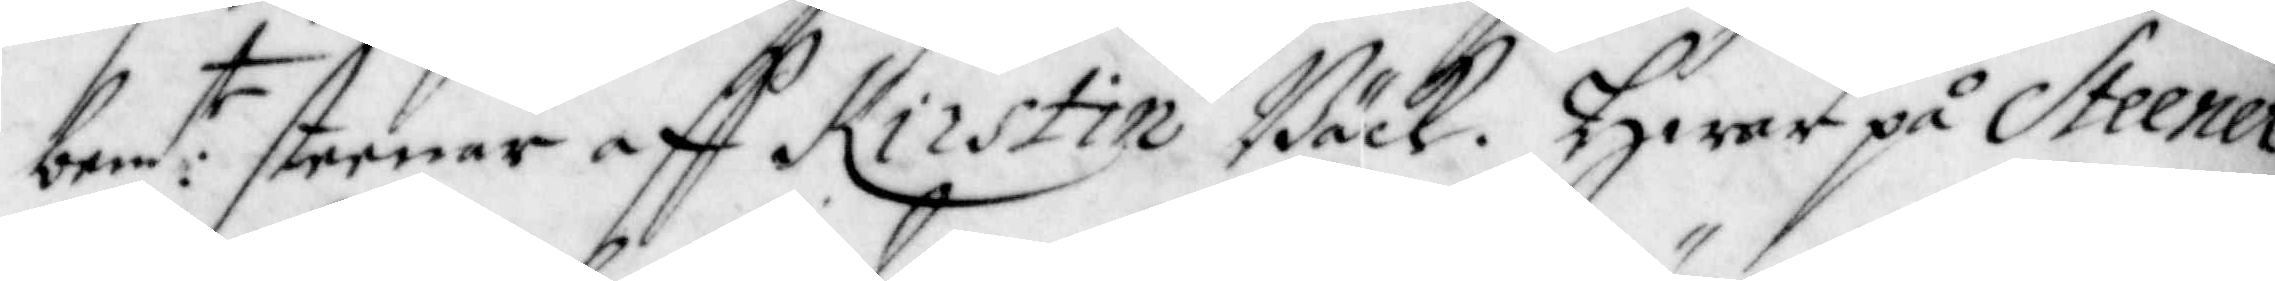bem:te steenar aff Kirstin Bäck. Hwarpå Steener
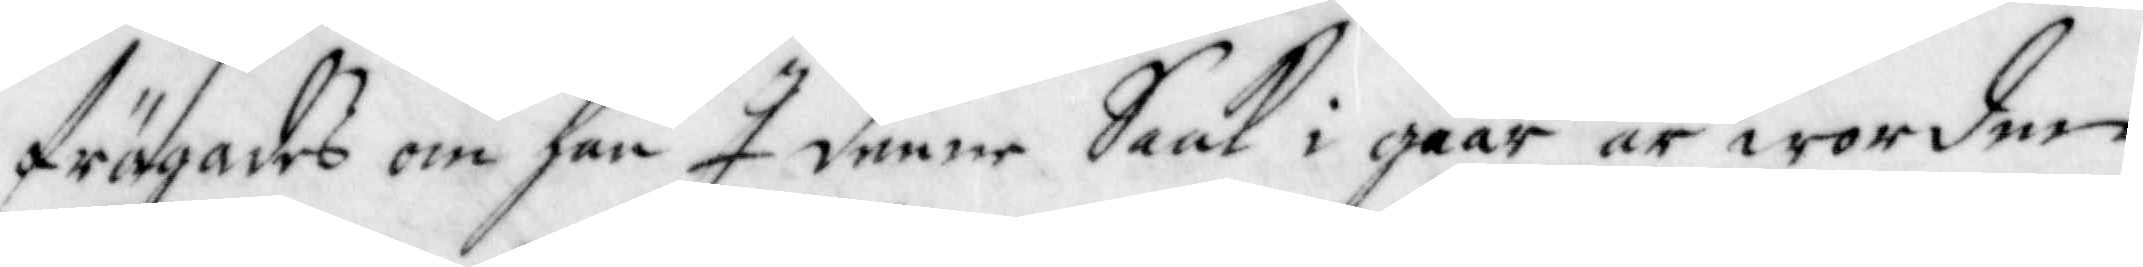frägades om han i denne Saak i gåår är worden
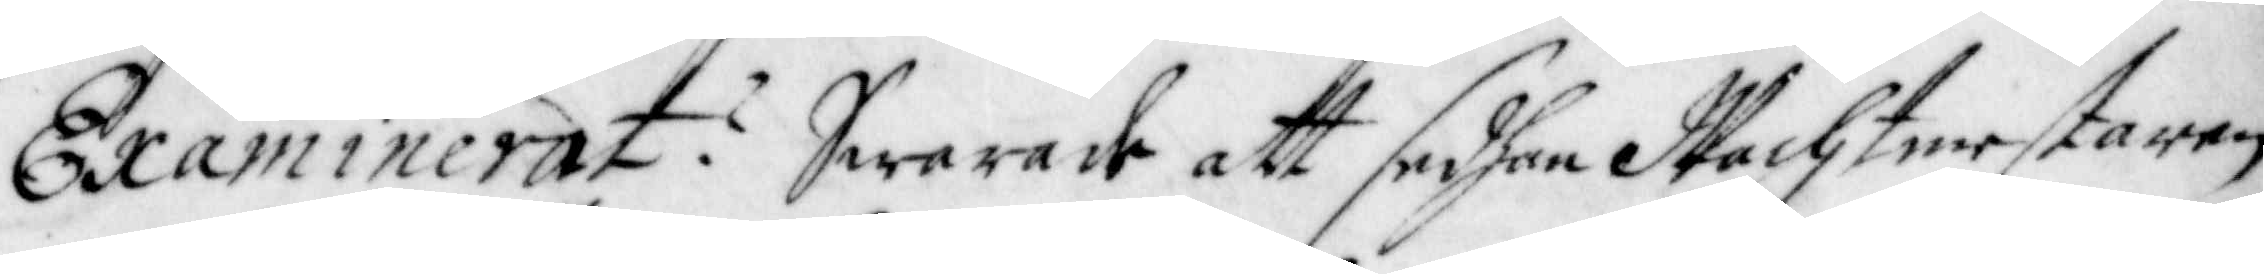Examinerat: Swarade att sedhan Wachtmestaren
